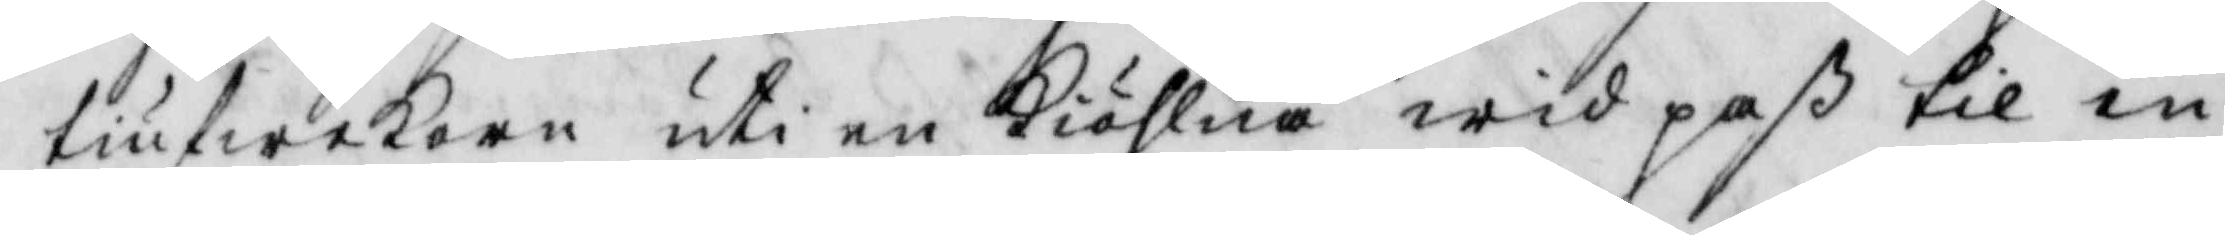tiufwekorn uti en kiöhlna wid paß til en
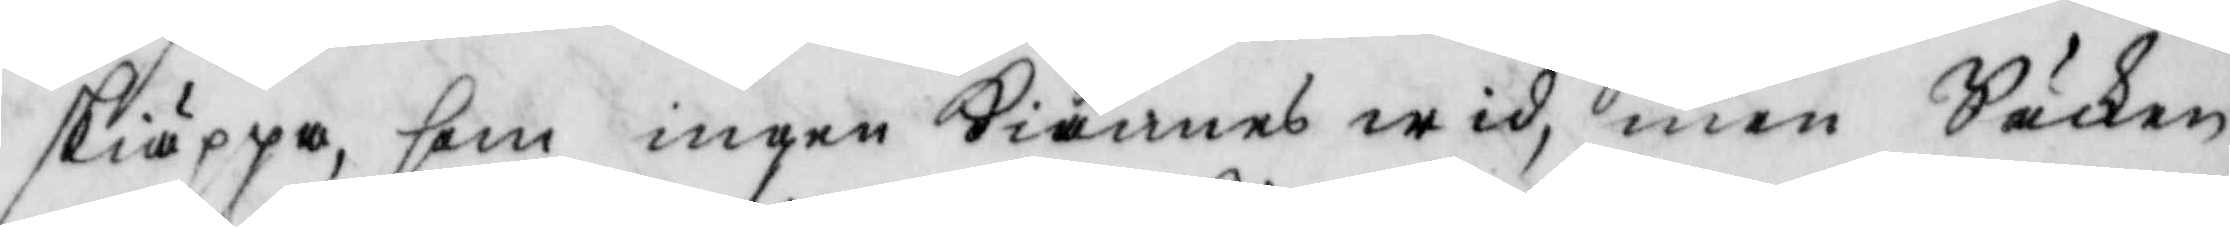skiäppa, som ingen kiännes wid, men Säken
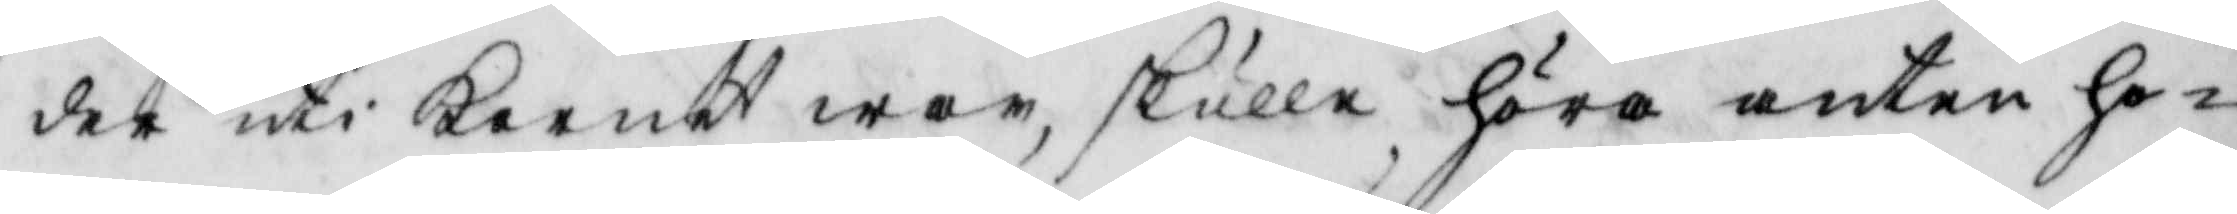der uti kornet war, skulle höra anten ho¬
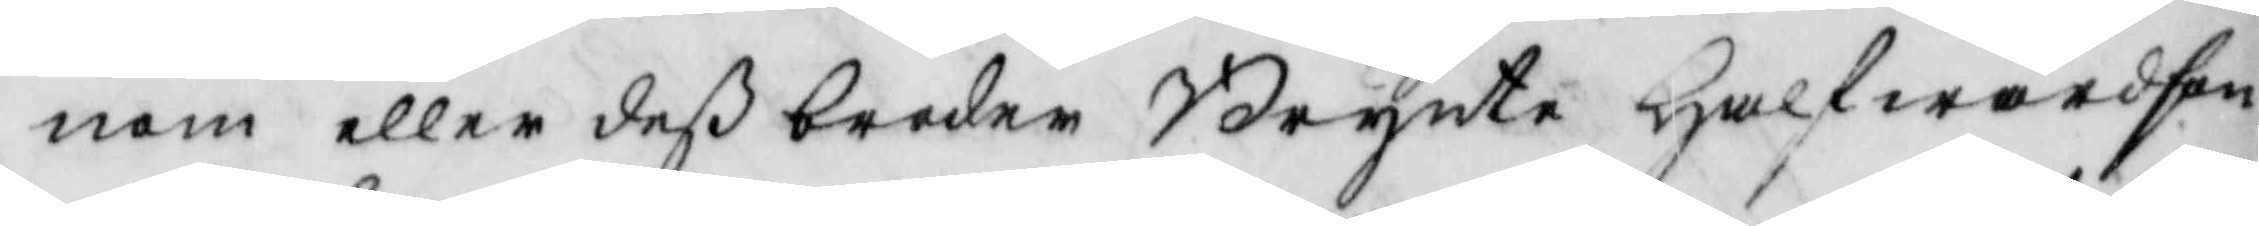nom eller deß broder Brynte Halfwardson
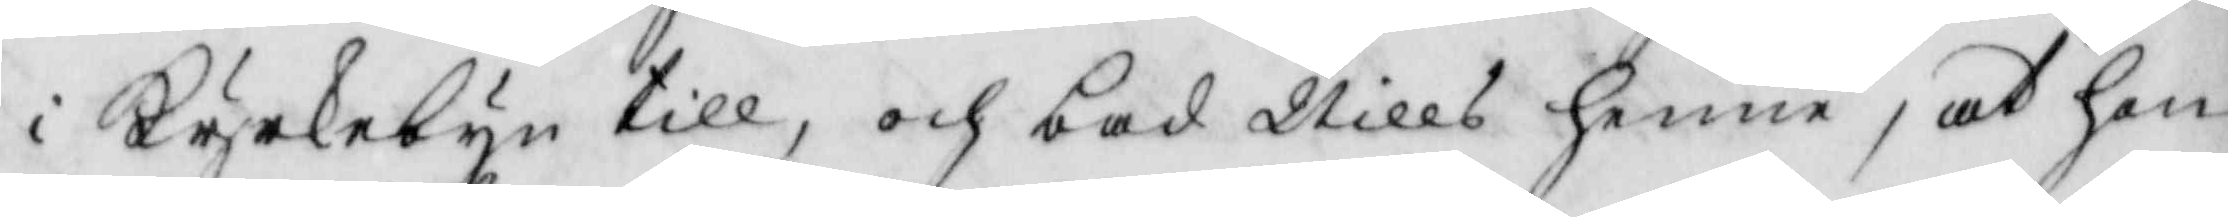i Kyrkebyn till, och bad Nills henne, at hon
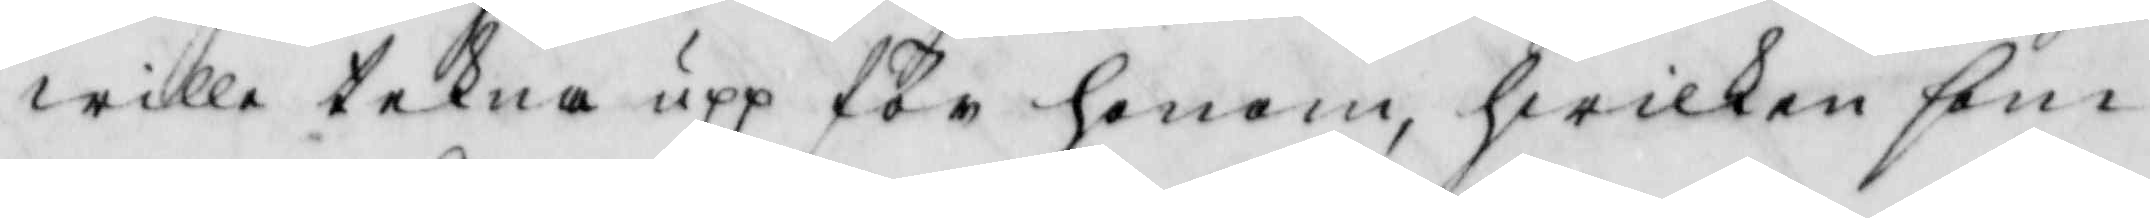wille tekna upp för honom, hwilken som
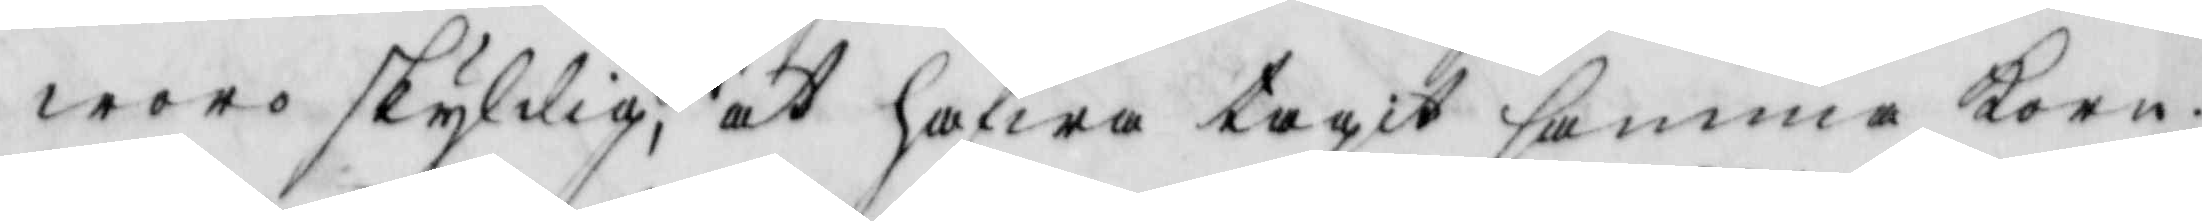woro skyldig, at hafwa tagit samma korn;
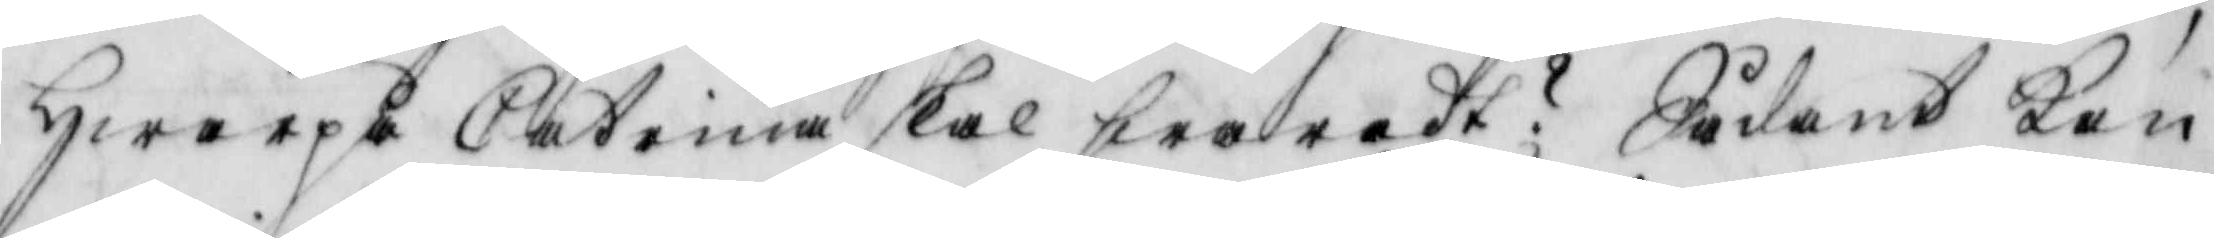hwarpå Catrina skal swaradt? Sådant kan
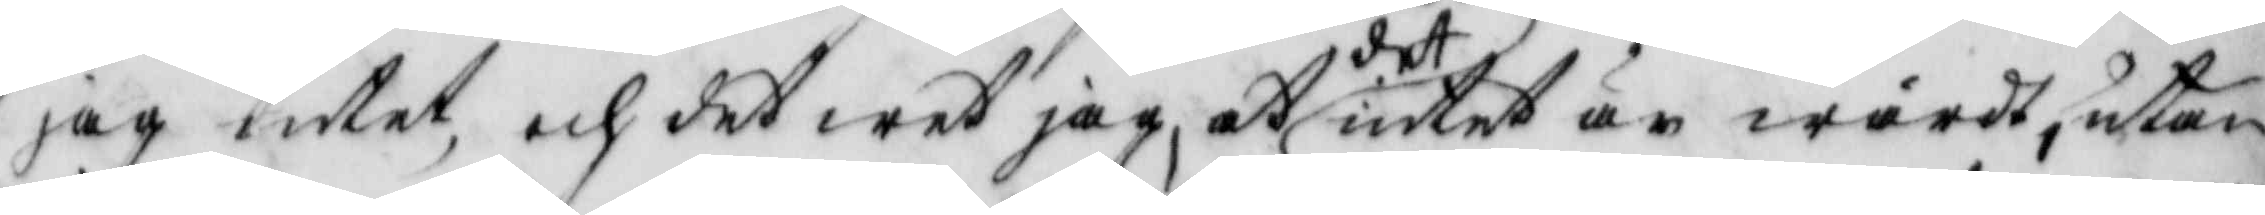jag intet, och det wet jag, att det intet är wärdt, utan
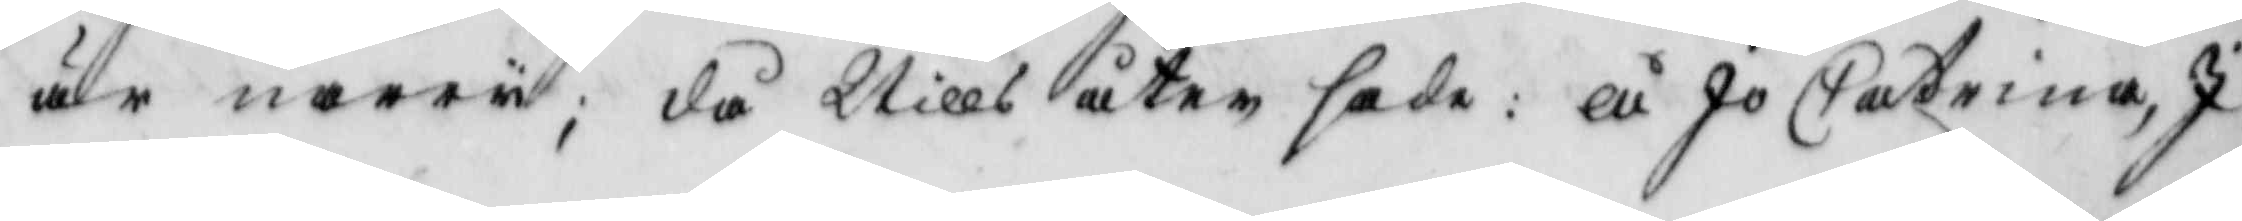är narri; då Nills åter sade: Å Jo Catrina I
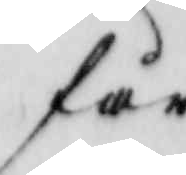får
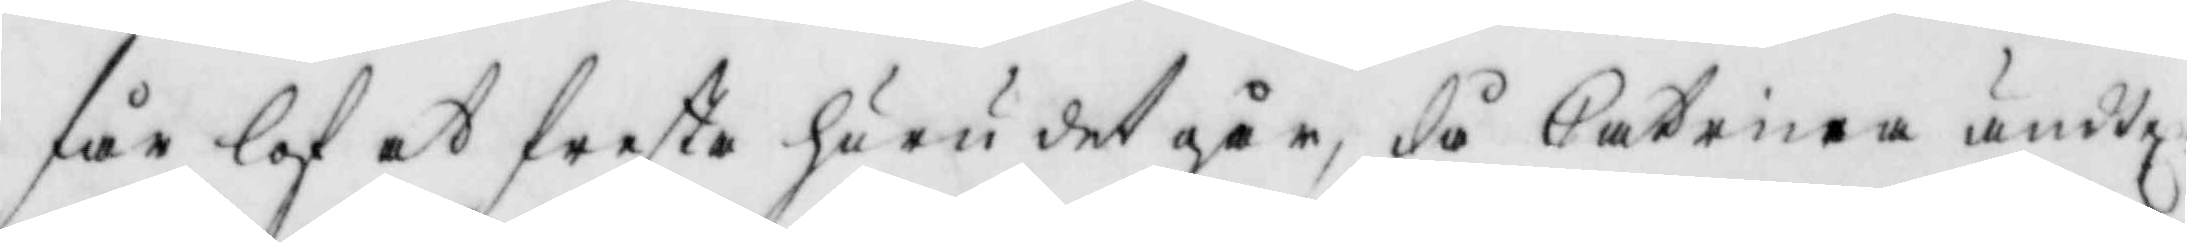får lof at fresta huru det går, då Catrina ändtel
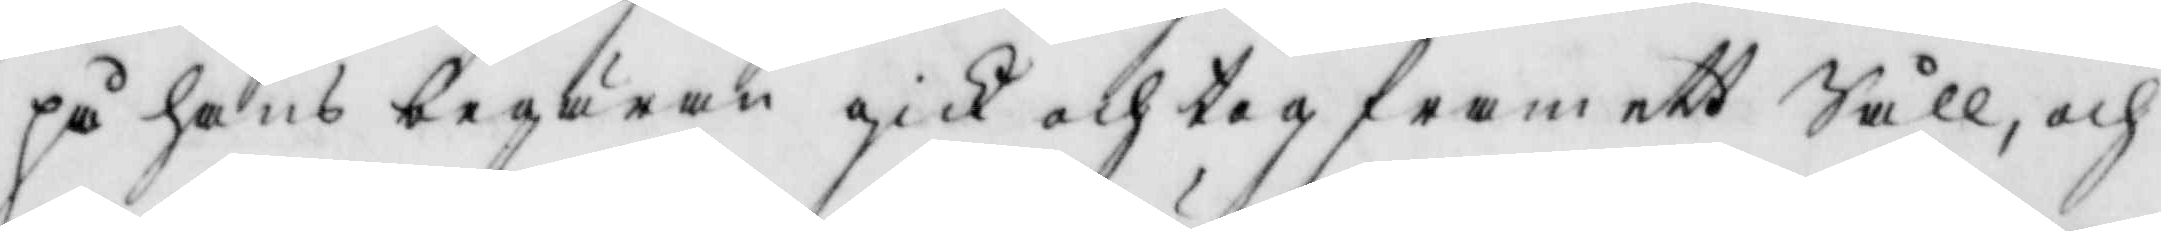på hans begäran gicl och tog fram ett Såll, och
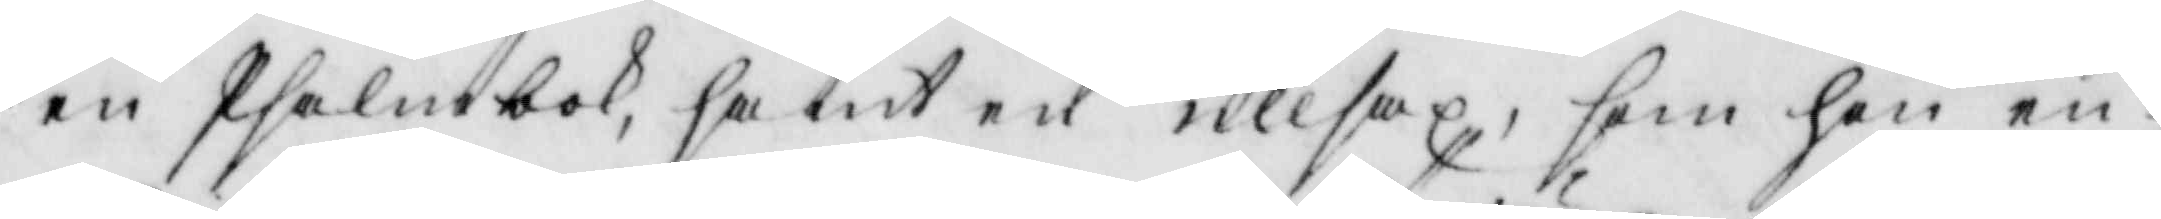en Psalmbok, samt en ullsax, som hon en
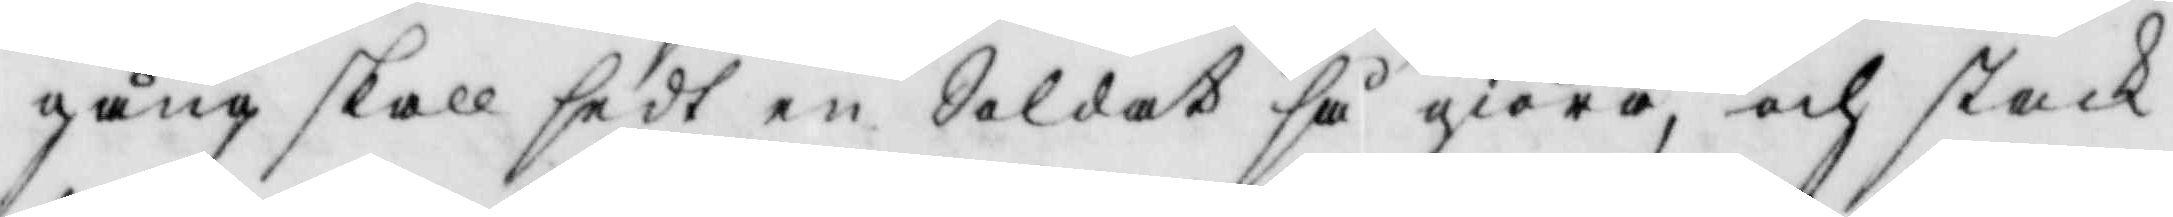gång skall sedt en Soldat så giöra, och stack
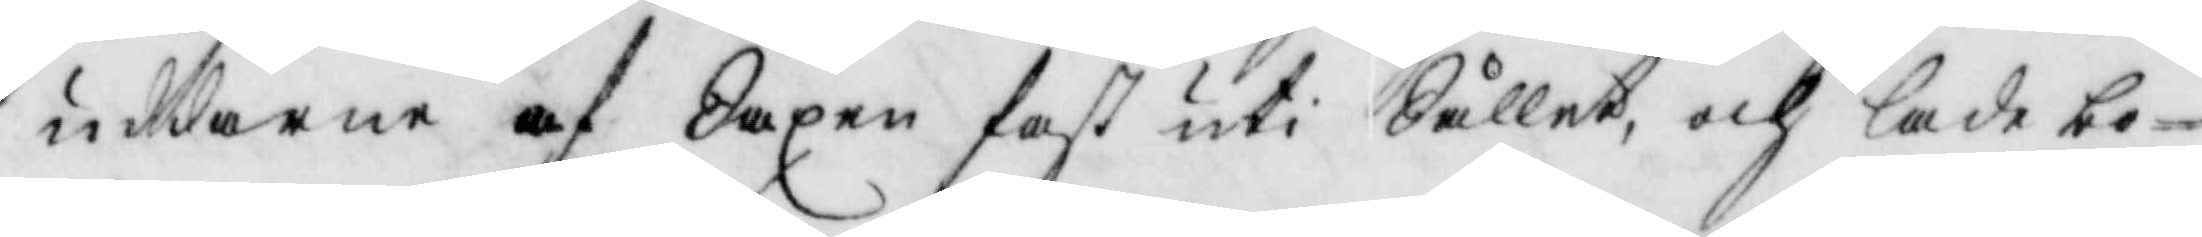uddarne af Saxen fast uti Sållet, och lade bo¬
